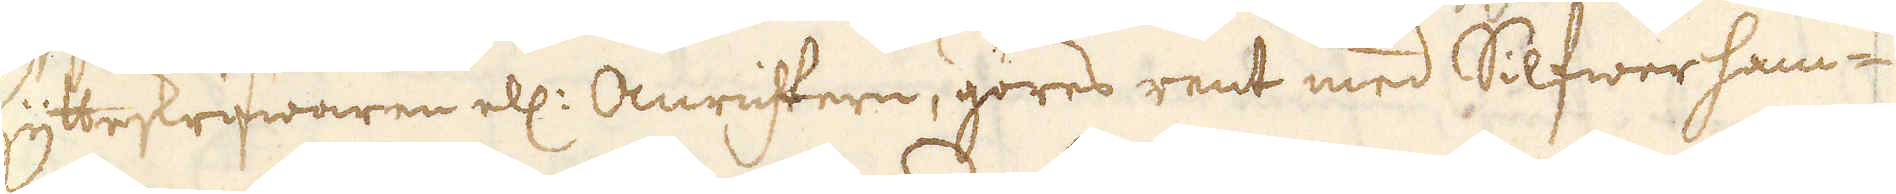hytteskrifwaren ell: Amrihtern, göres rent med Silfwerham-
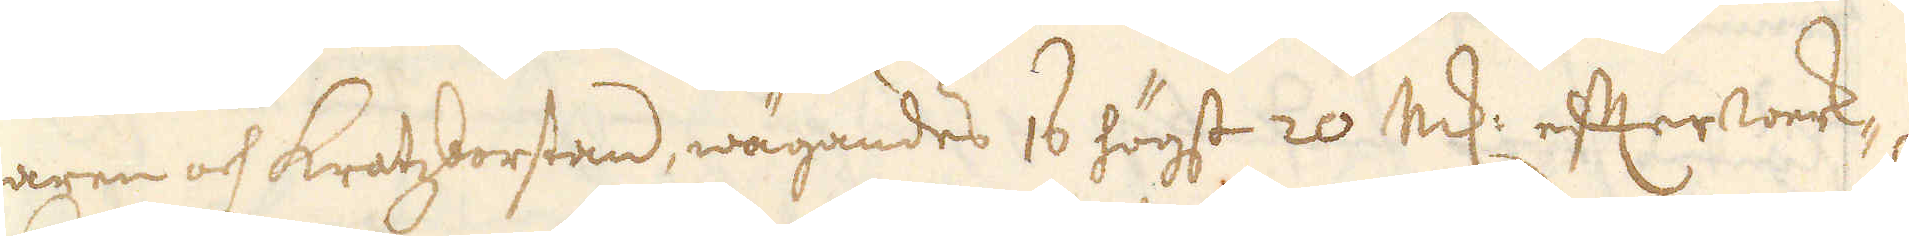maren och kratzborstan, wägandes 16 högst 20 marker efter werk-
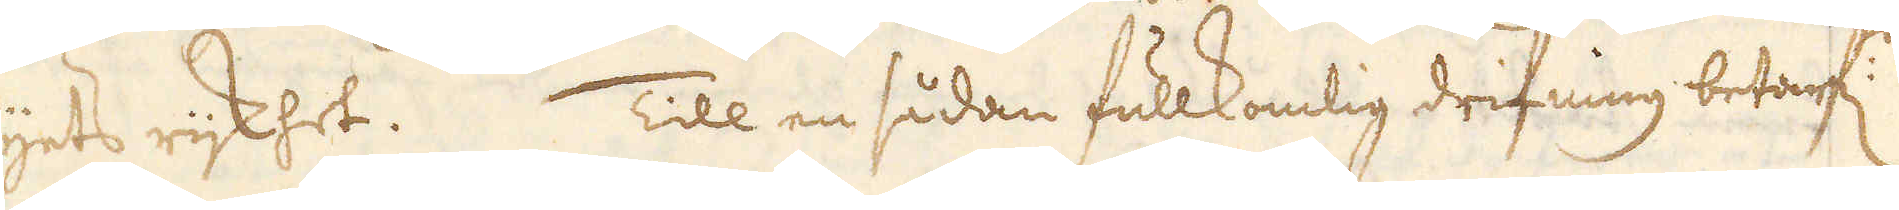blyets rijkhet. Till en sådan fullkomlig drifning betarf:
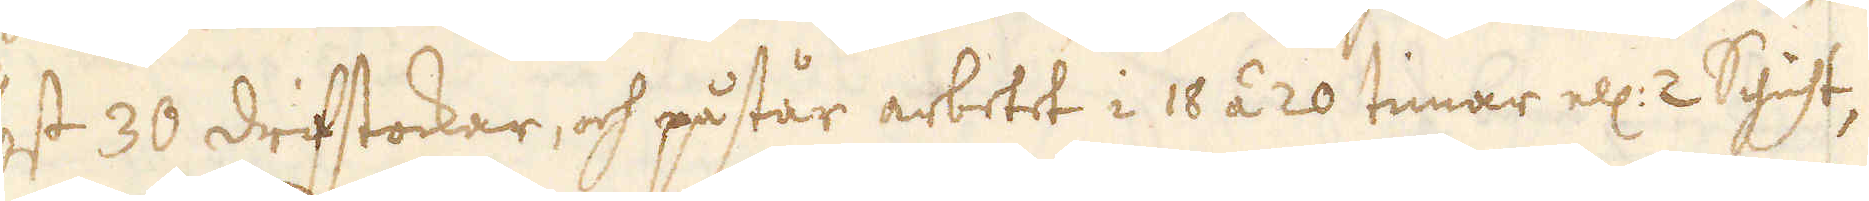högst 30 drifstockar, och påstår arbetet i 18 á 20 timar ell: 2 Schicht,
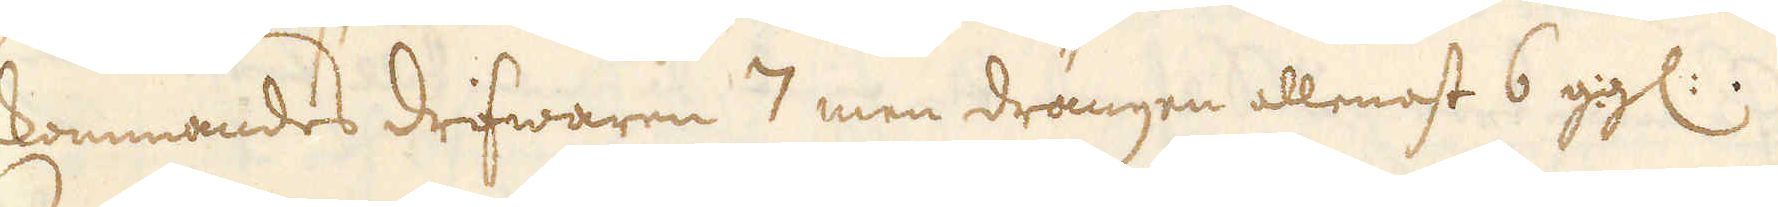kommandes drifwaren 7 men drängen allenast 6 ggl:.
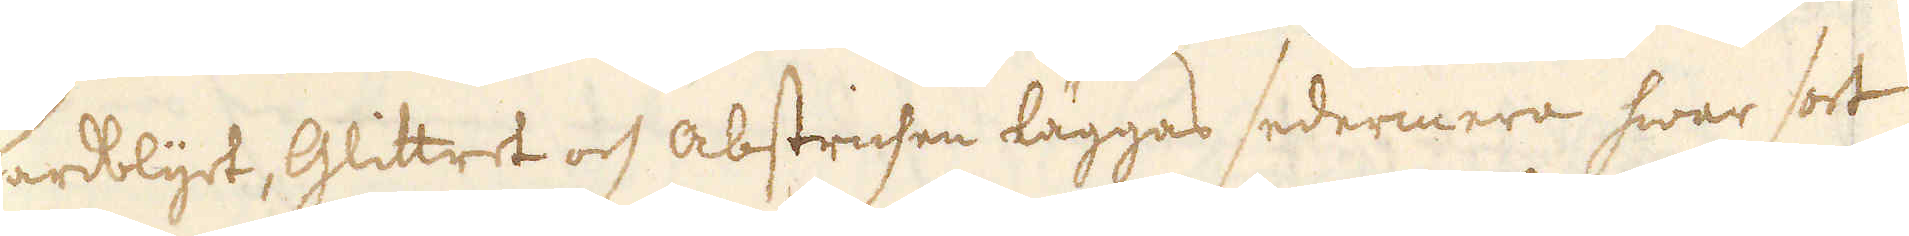Hårdblyet, Glittret och abstrichen läggas sedermera hwar sort
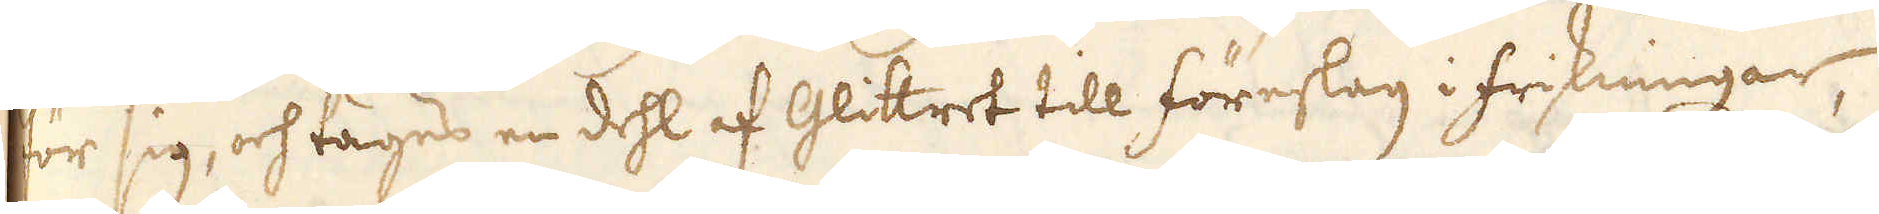för sig, och tages en dehl af Glittret till föreslag i friskningar,
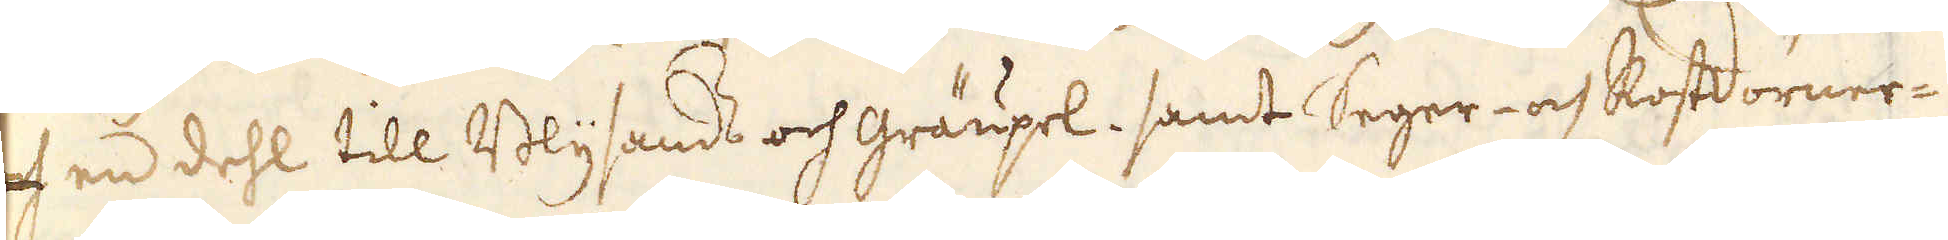och en dehl till Blysands och Gräupel, samt seger- och Rostdörner-
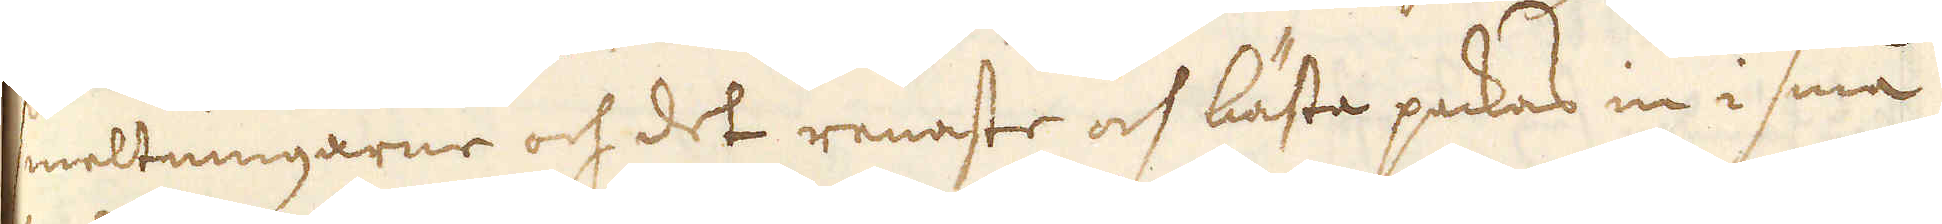smeltningarne och det renaste och bästa packas in i små
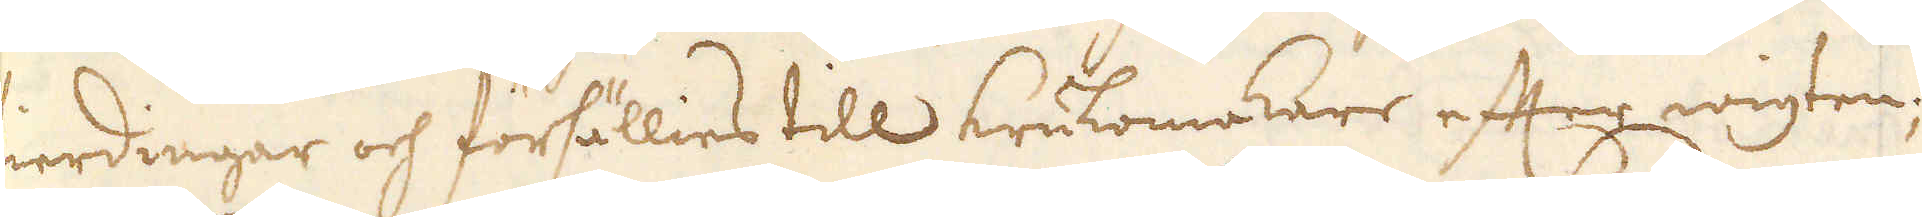fierdingar och försällies till krukomakare efter wigten;
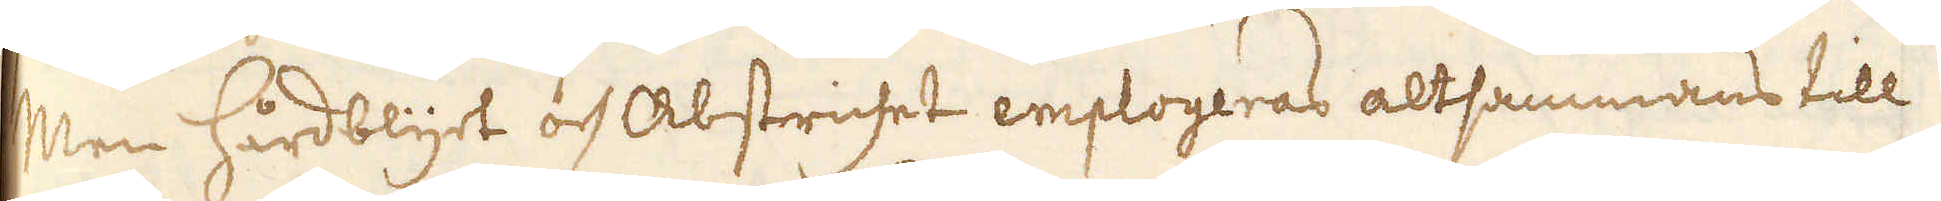Men Hårdblyet och Abstrichet employeras altsammans till
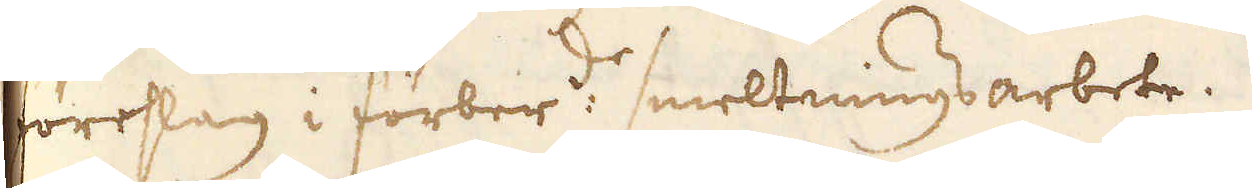förslag i förber:de smeltningsarbete.
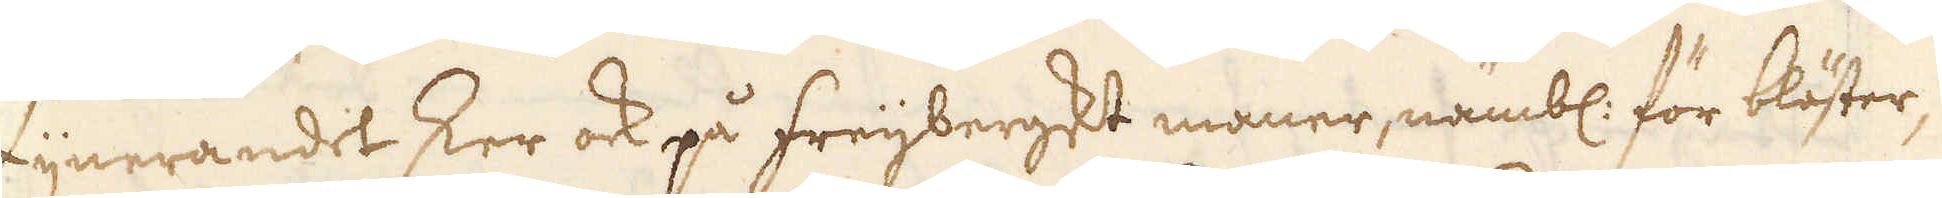Fijnerandet sker ock på freijbergskt maner, nämbl: för blöster,
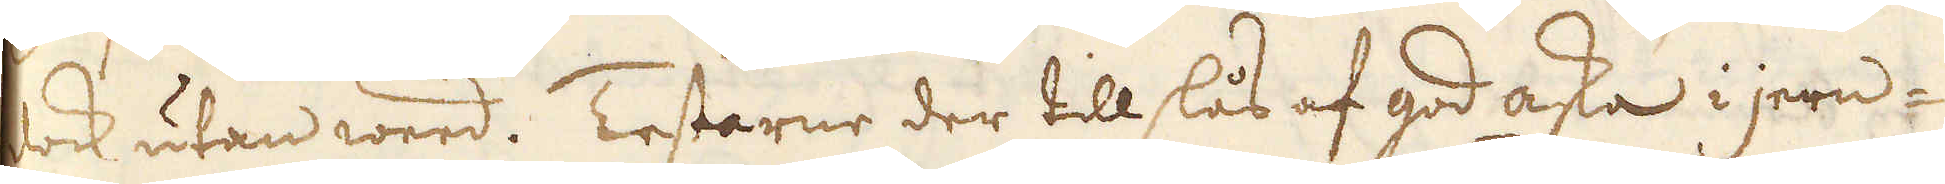dock utan weed. Testarne der tillslås af god aska i jern-
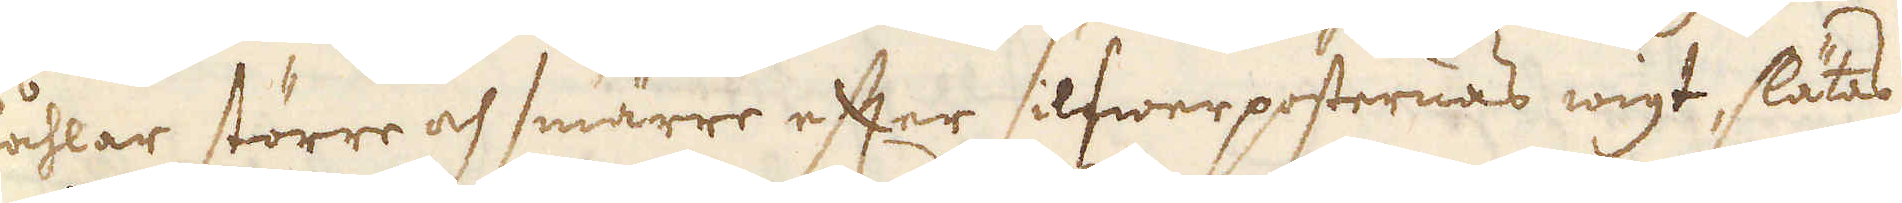Påhlar större och smärre efter silfwer posternas wigt, slätas
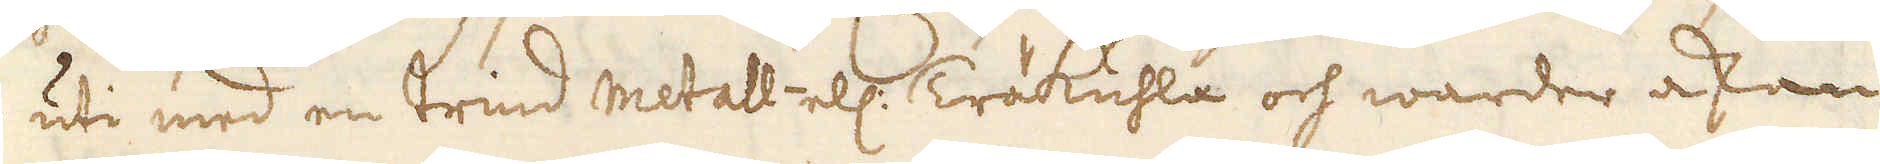in uti med en trind metall- ell: Träkuhla och warder askan
